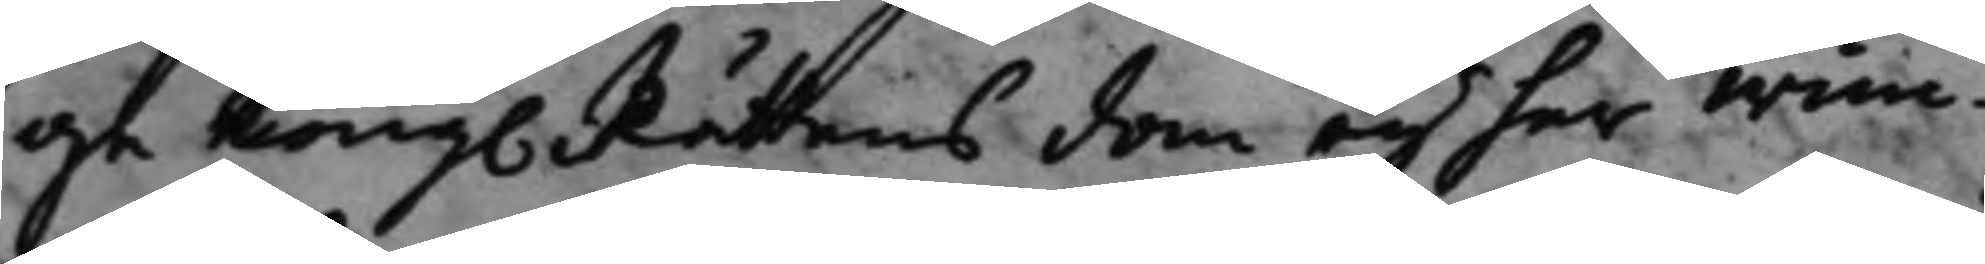ge Kong. Rättens dom eij har wun¬
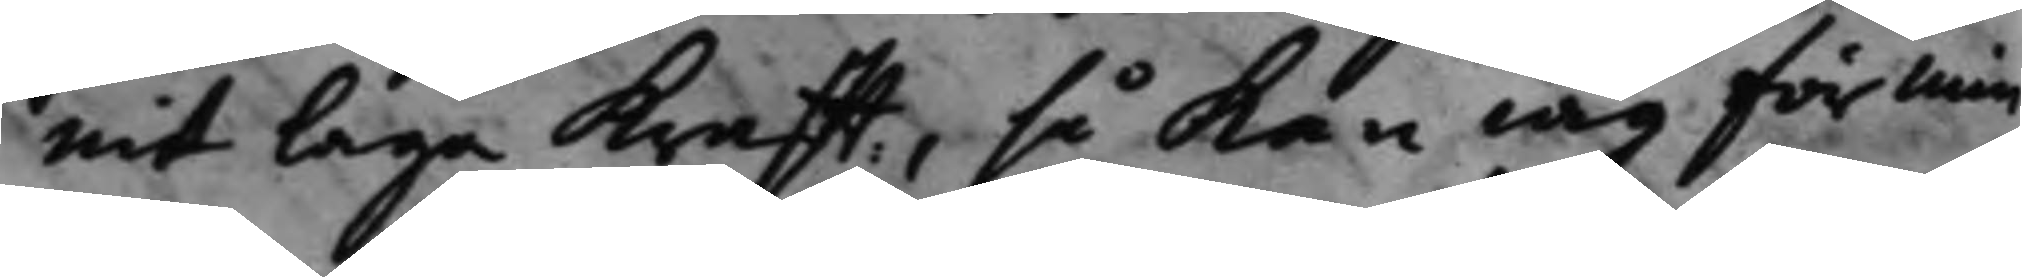nit laga krafft, så kan iag för min
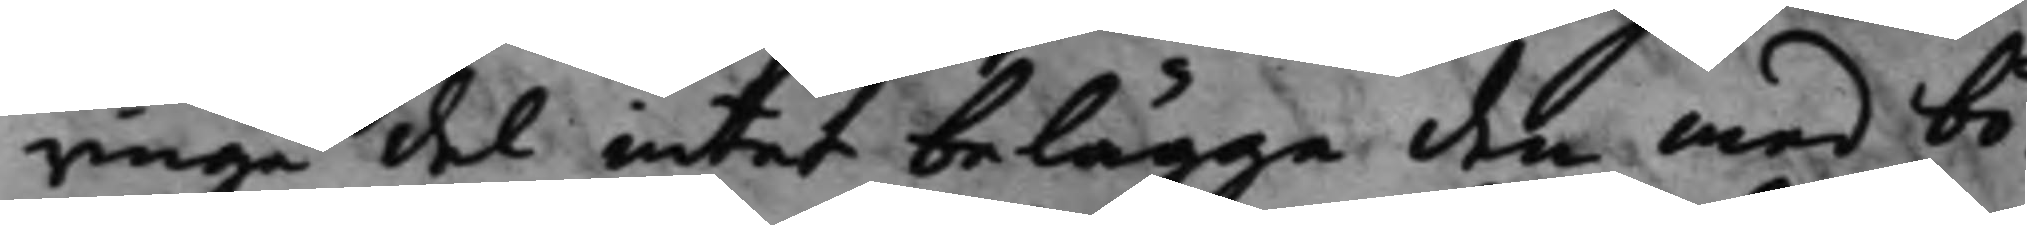ringa del intet belägga den med bö¬
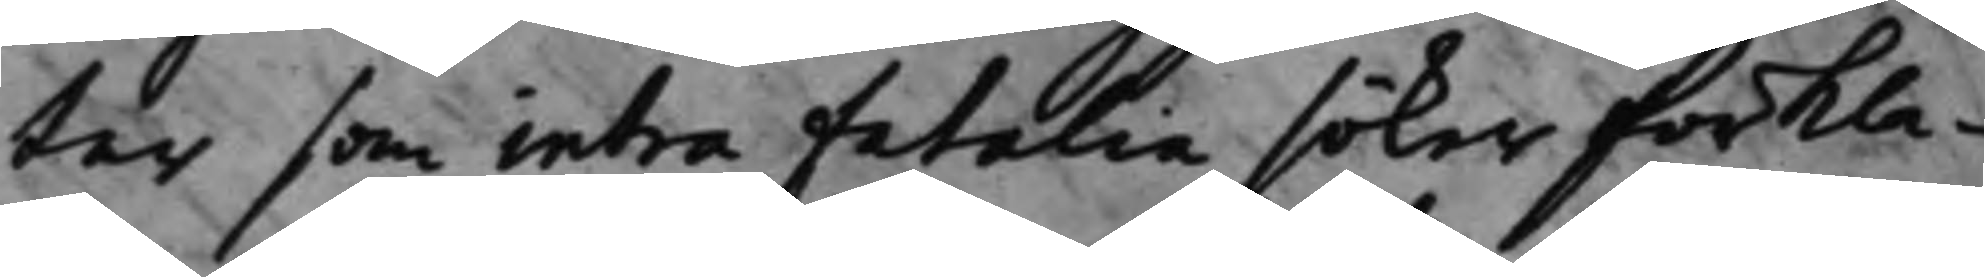tär som intra fatalia söker förkla¬
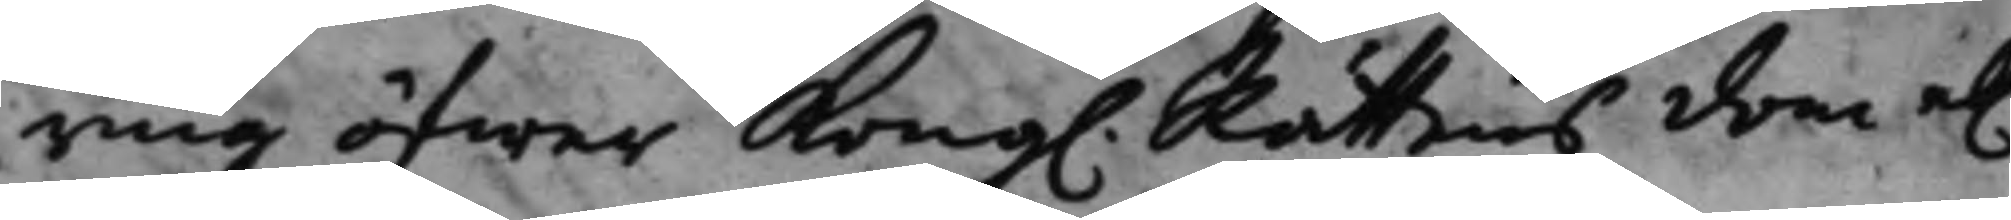ring öfwer Kong. Rättens dom el.
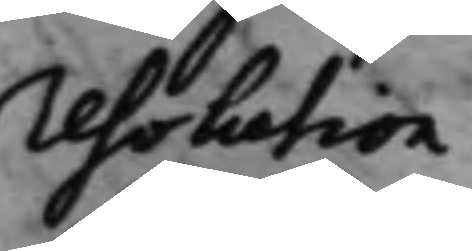resolution.
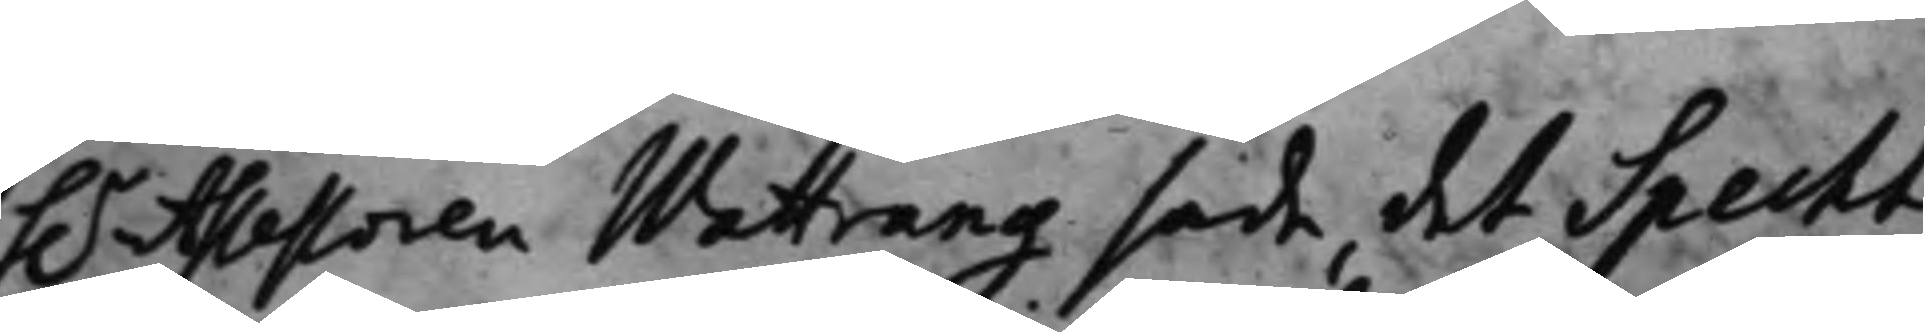h.r Assessoren Wattrang sade, det Specht
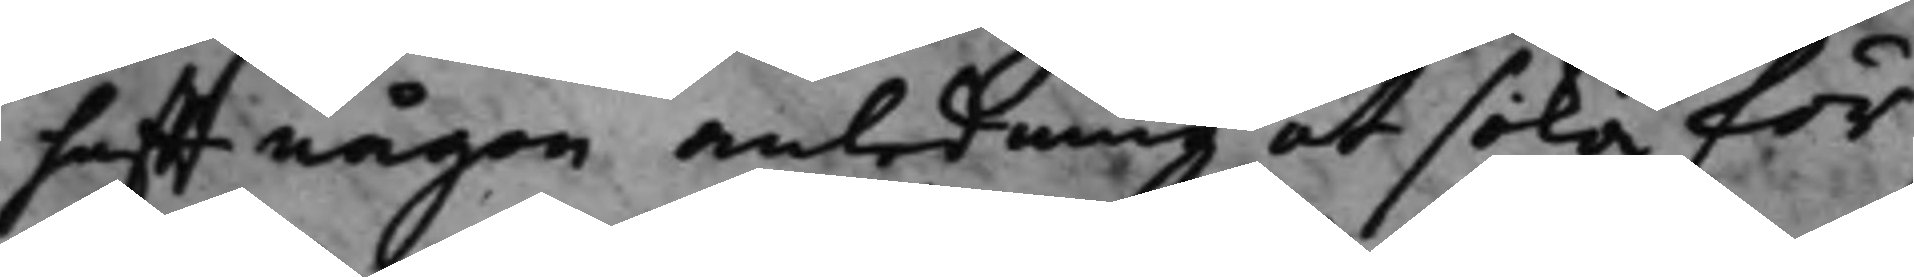hafft någon anledning at söka för¬
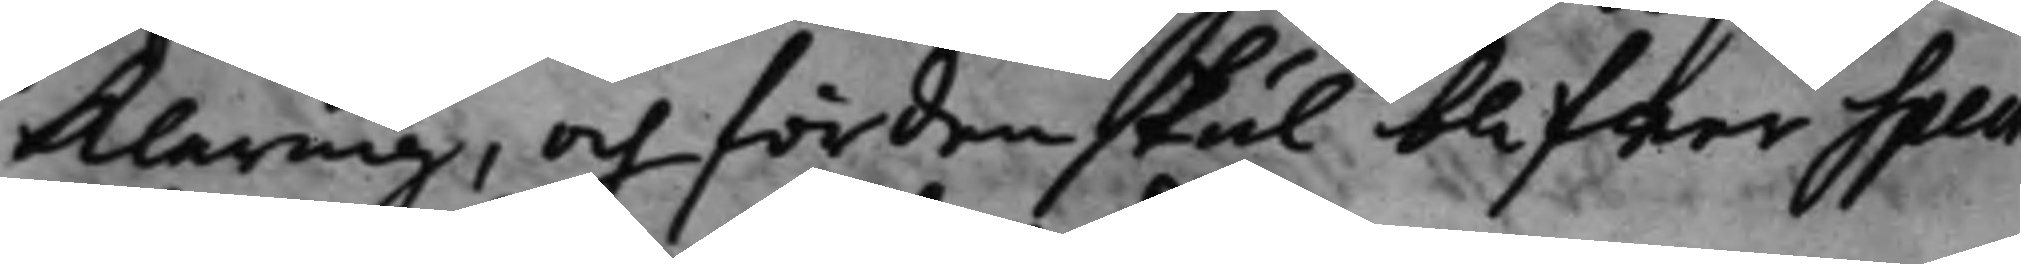klaring, och fördenskul blifwer Spech
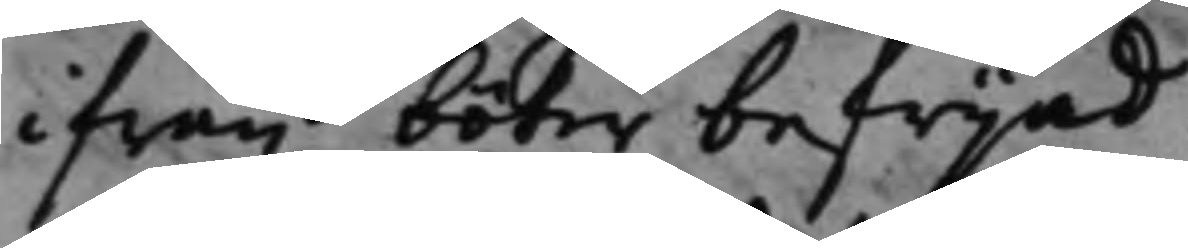ifrån böter befrijad.
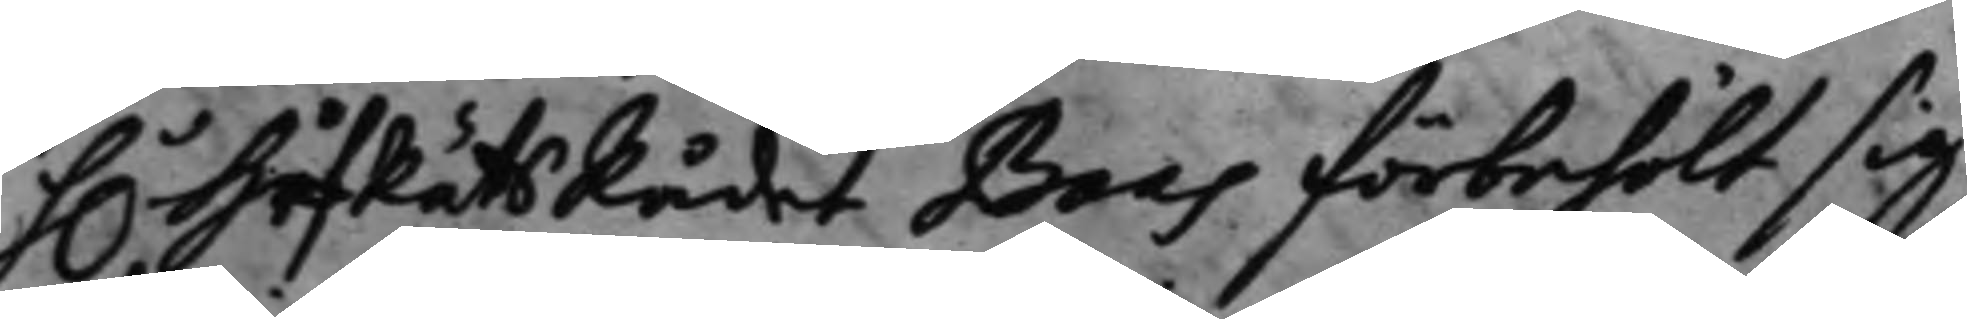H.r HofRättsRådet Baas förbehölt sig
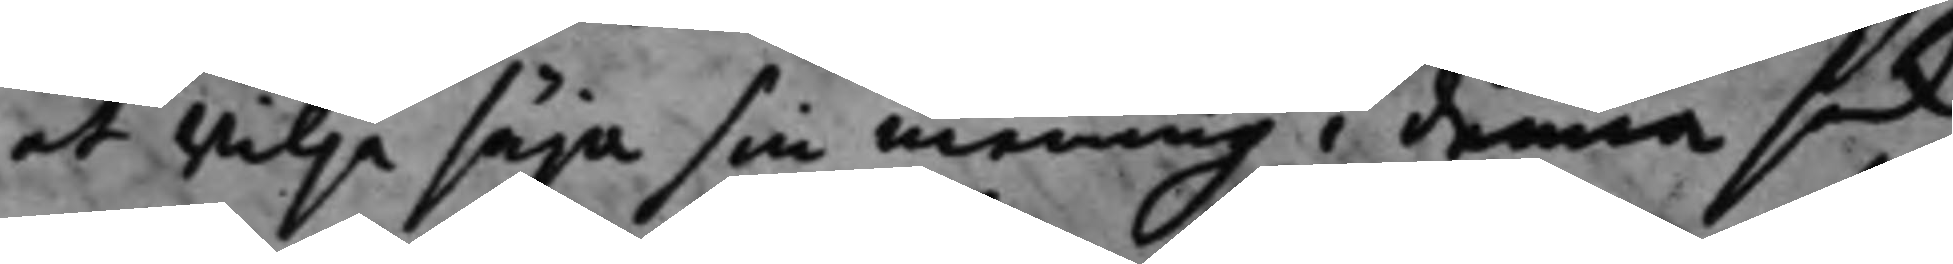att wilja säja sin mening i denna sak
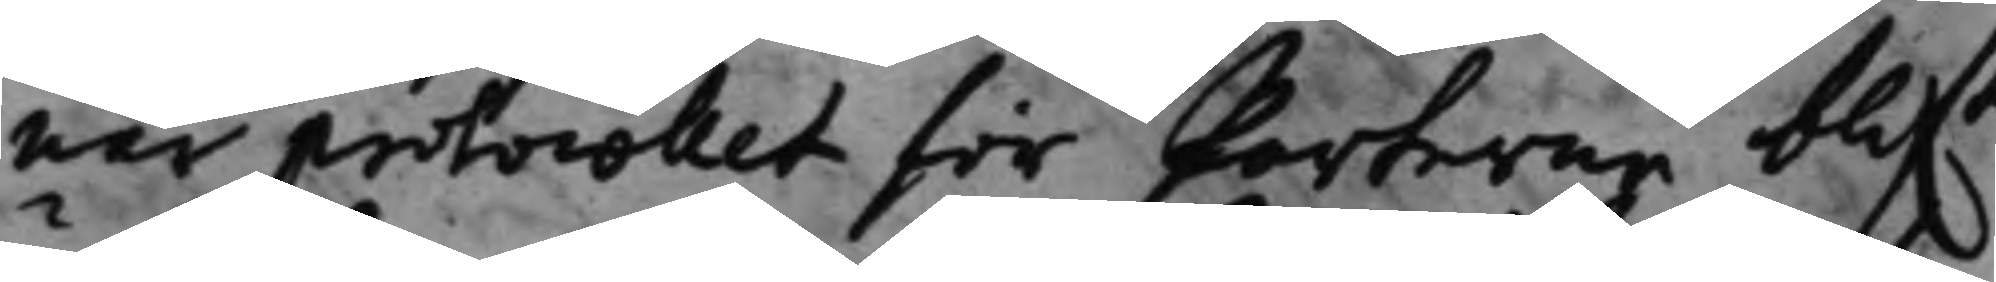nar protocollet för Parterne blif.t
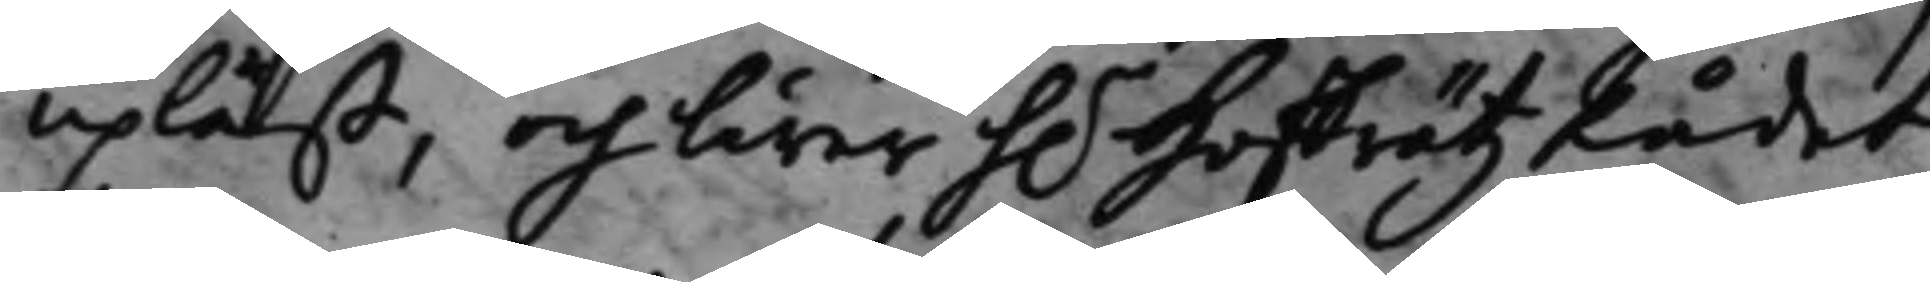upläst, och lärer h.r HoffrätzRådet,
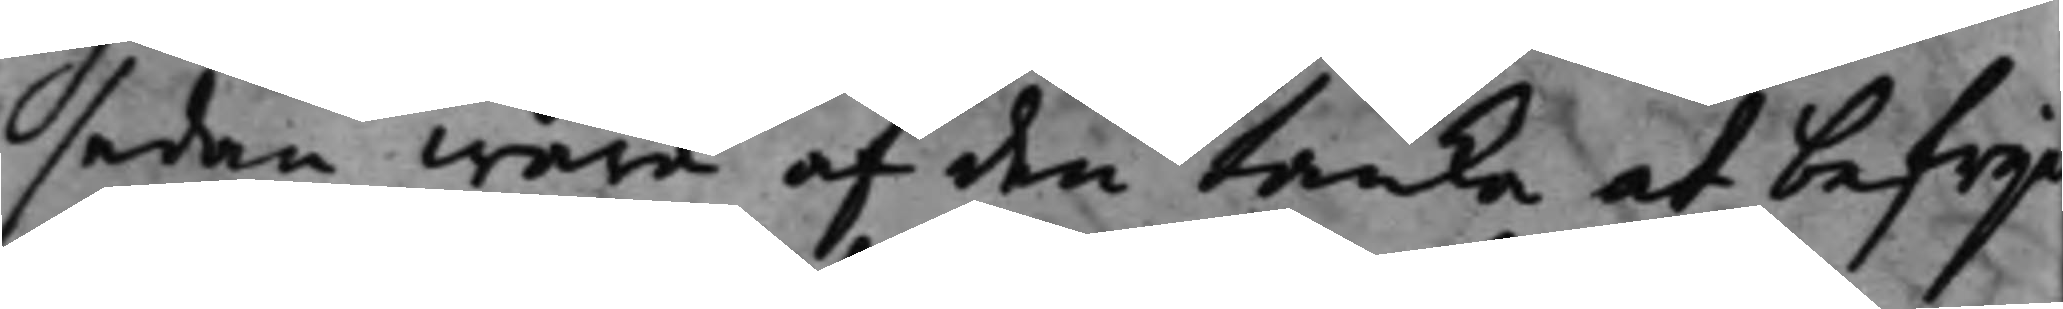sedan wara af den tanke at befrij
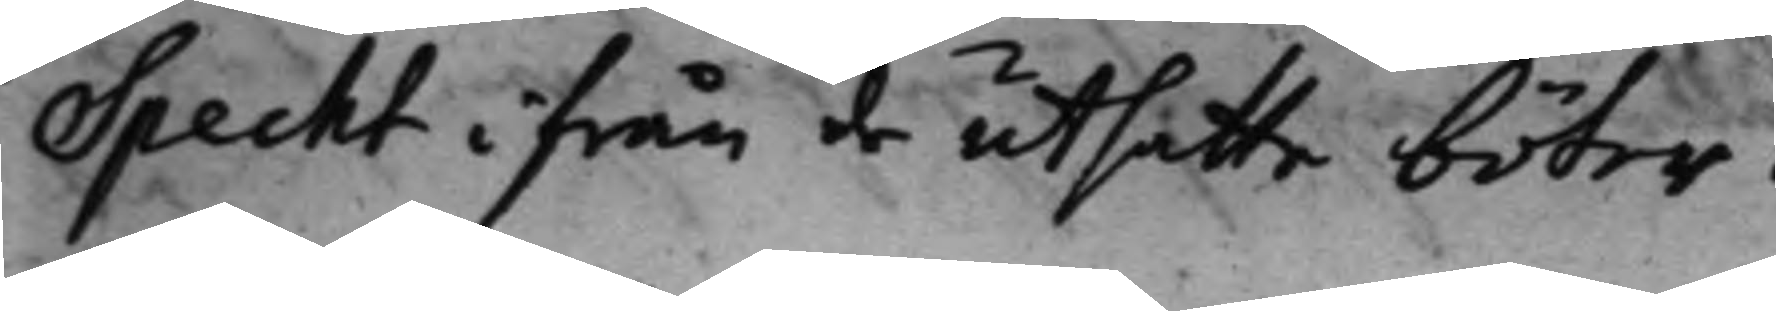Specht ifrån de utsatte böter.
